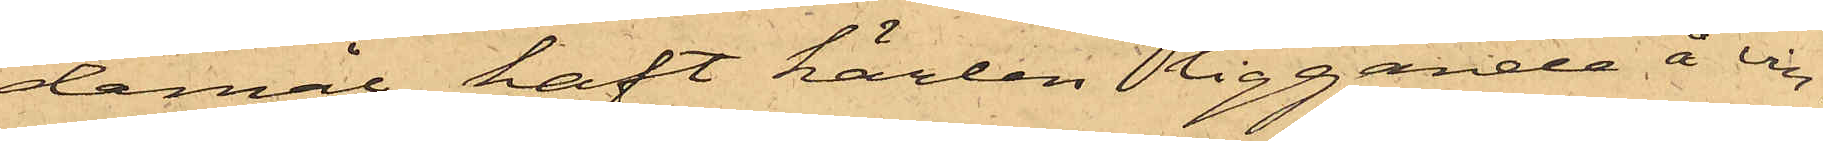damål haft kärlen liggande å vin¬
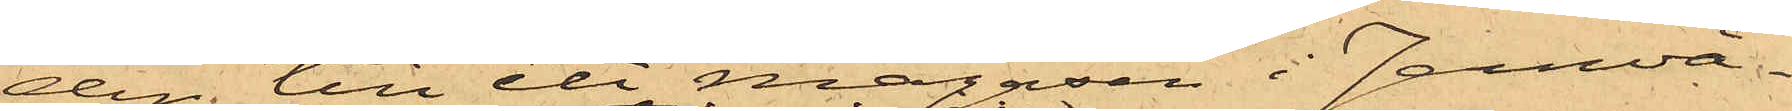den till ett magasin i Jernvå¬
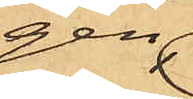gen
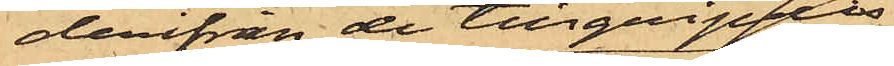derifrån de tillgripts;
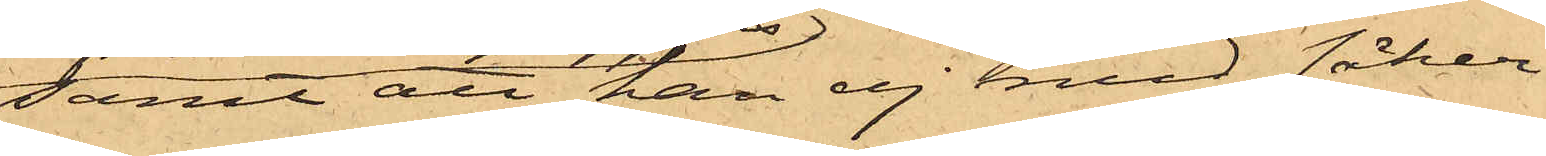Samt att han ej med säker¬
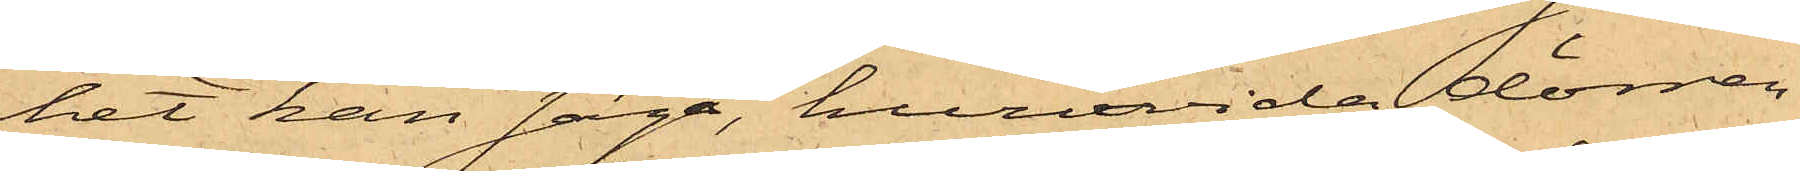het kan säga, huruvida dörren
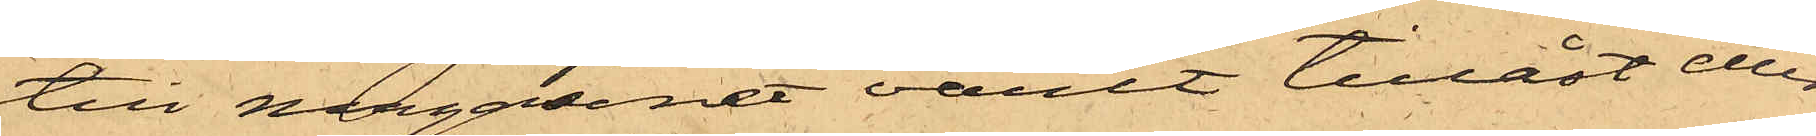till magasinet varit tillåst eller
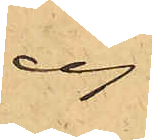ej.
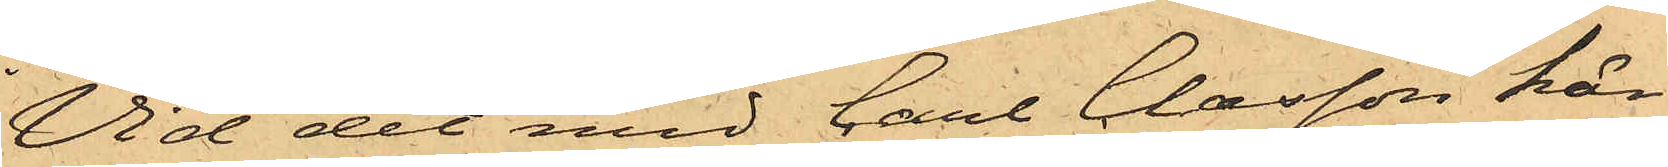Vid det med Carl Clæsson här¬
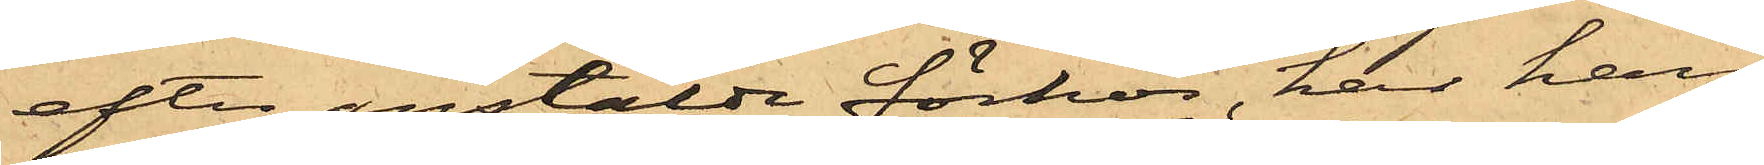efter anstälde förhör, har han
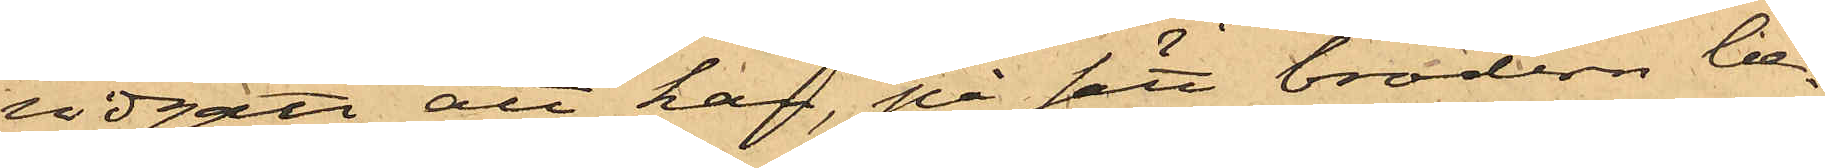vidgått att han, på sätt brodern be¬
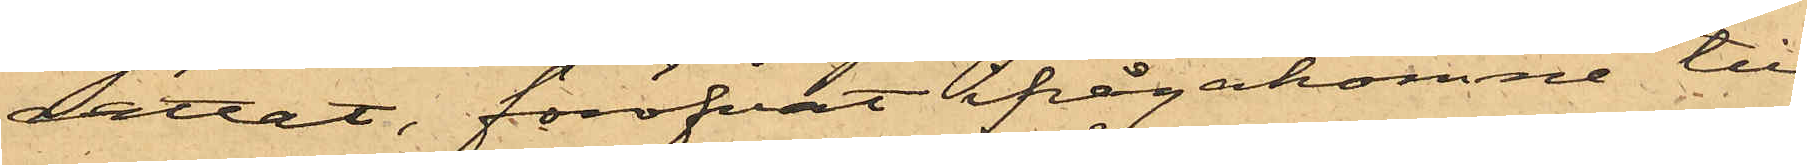rättat, föröfvat ifrågakomne till¬
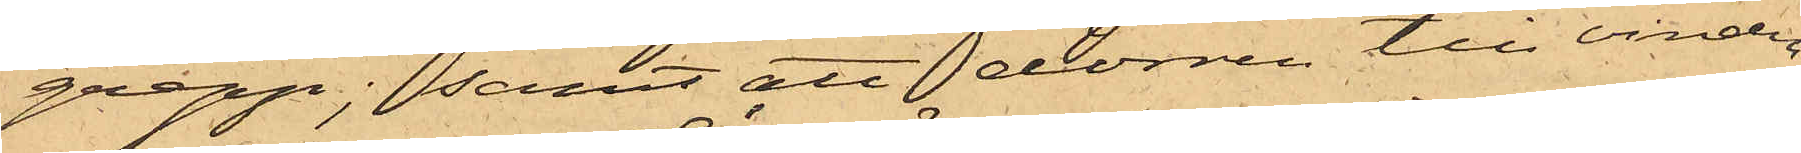grepp; samt att dörren till vinden
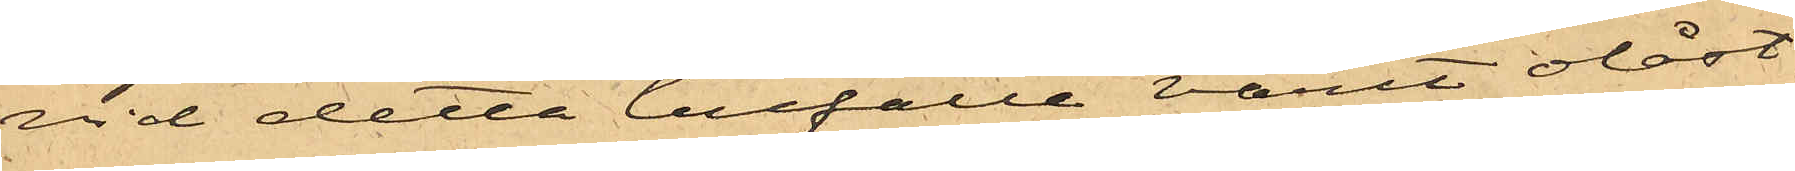vid detta tillfälle varit olåst.
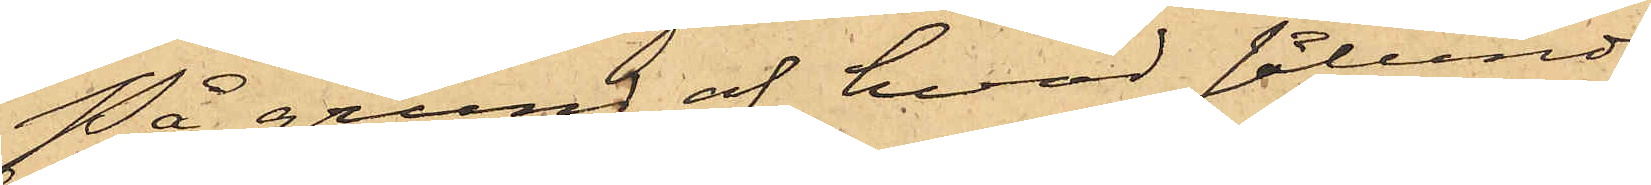På grund af hvad sålunda
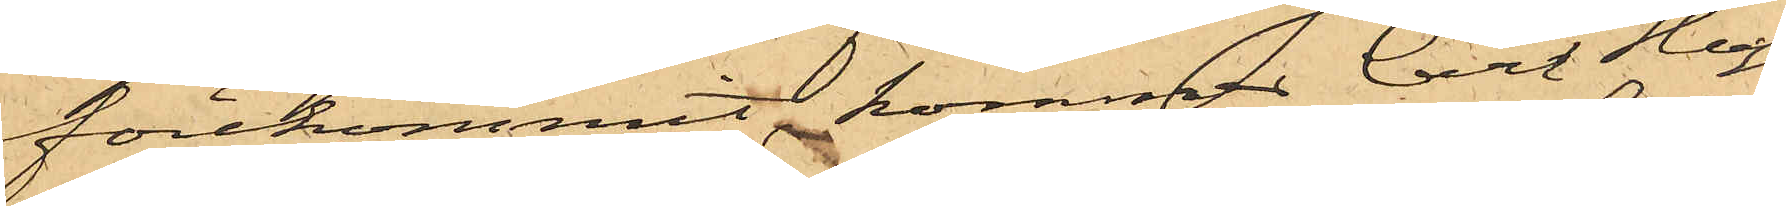förekommit, kommer Carl Hugo
